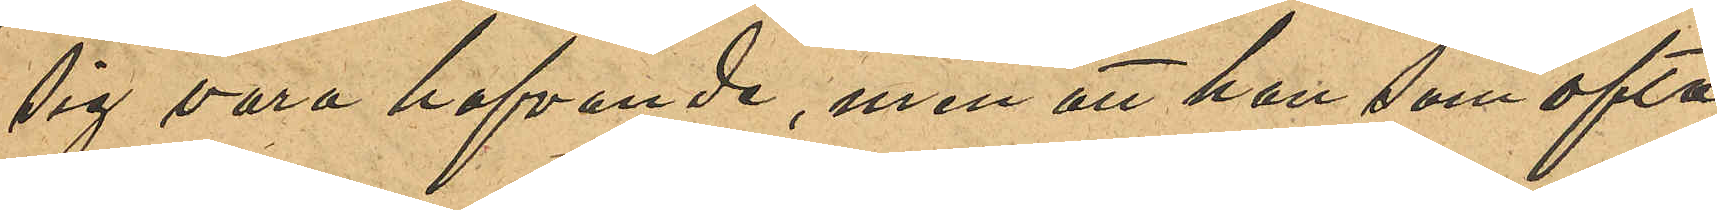sig vara hafvande, men att hon som ofta
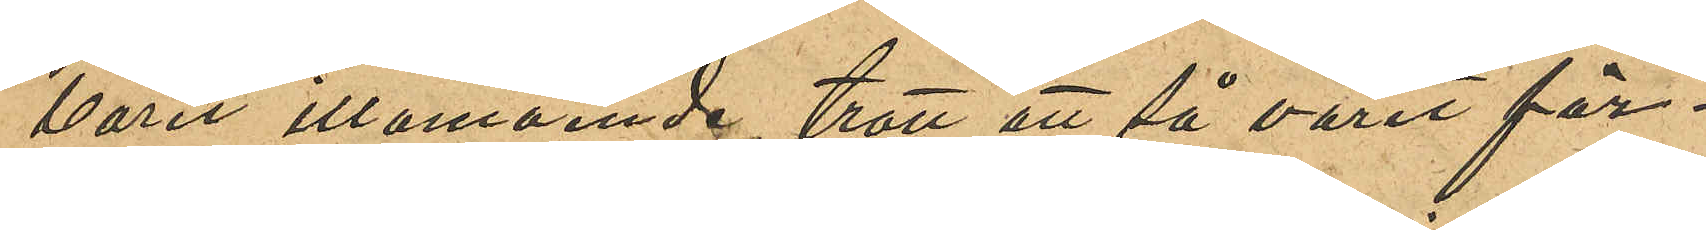varit illamående, trott att så varit för¬
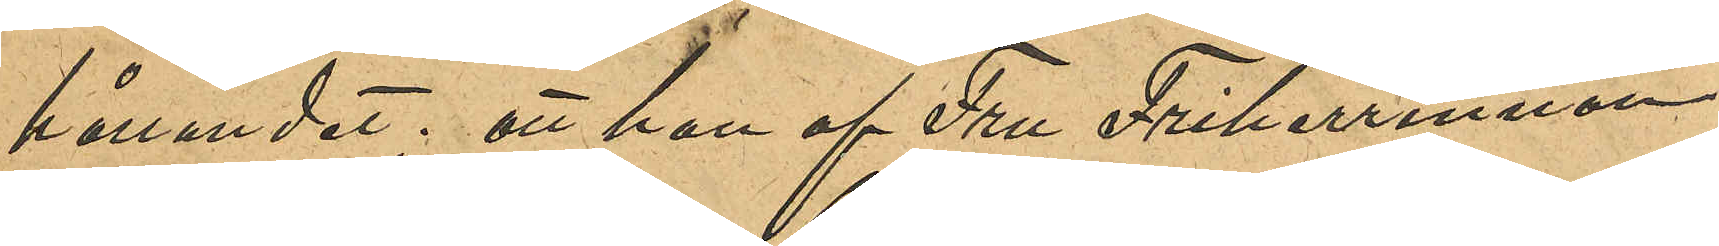hållandet; att hon af Fru Friherrinnan
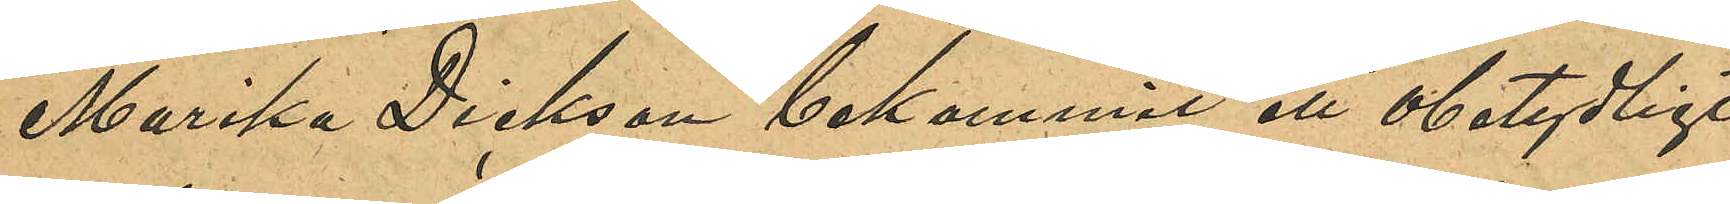Marika Dickson bekommit ett obetydligt
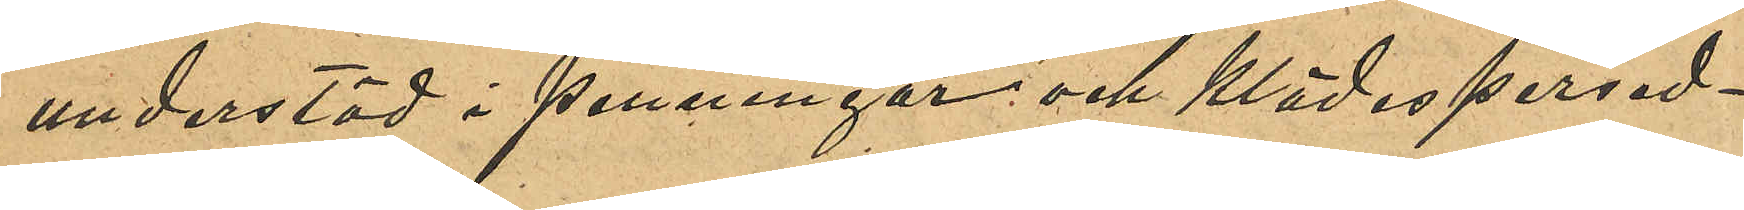understöd i penningar och klädespersed¬
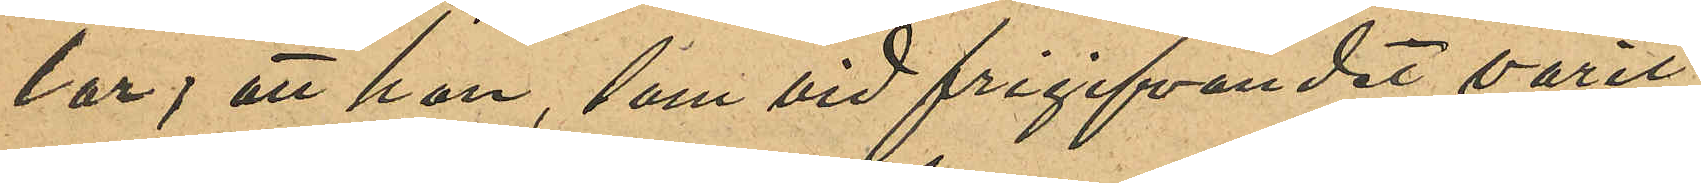lar; att hon, som vid frigifvandet varit
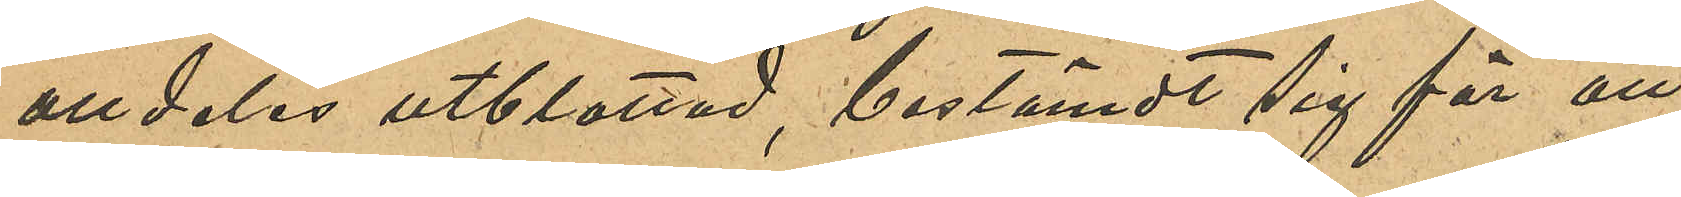alldeles utblottad, bestämdt sig för att
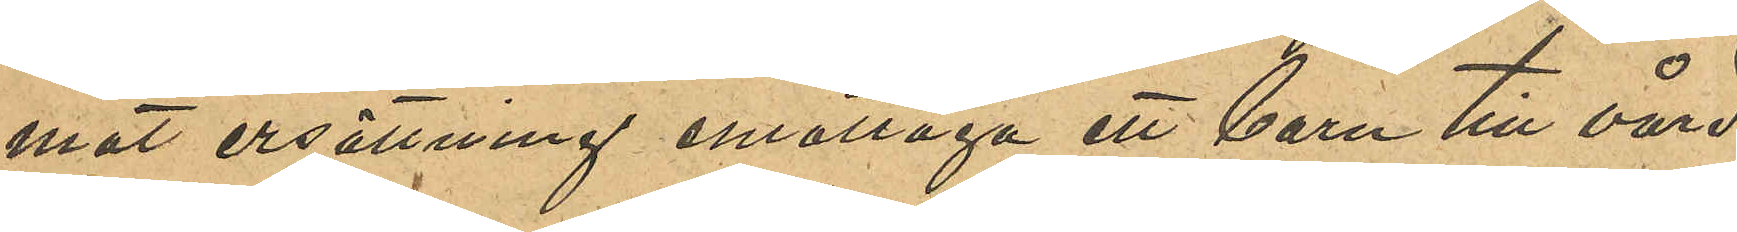mot ersättning emottaga ett barn till vård
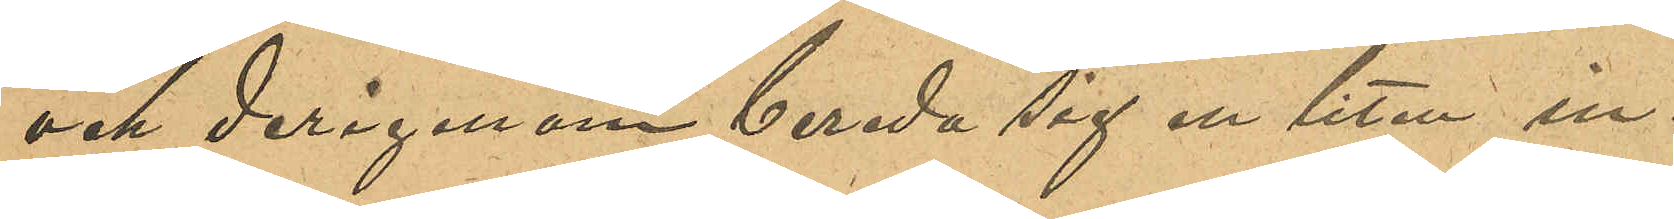och derigenom bereda sig en liten in¬
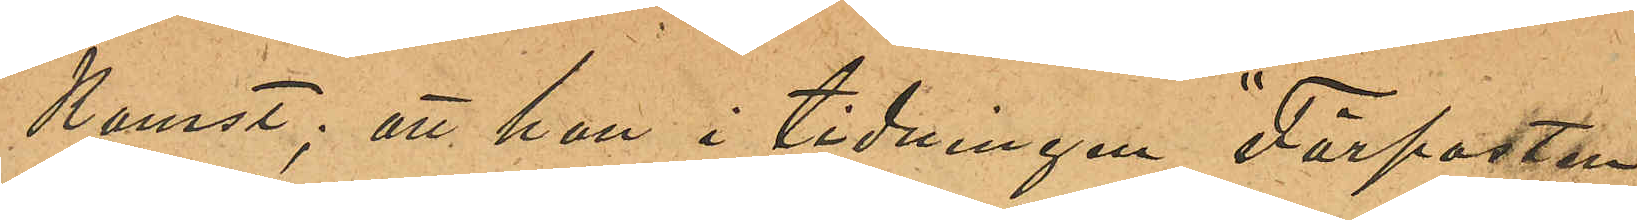komst; att hon i tidningen "Förposten"
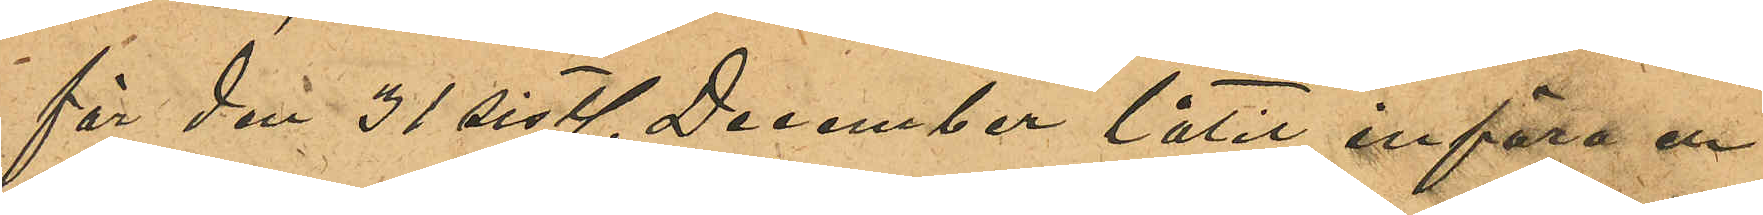för den 31 sist. December låtit införa en
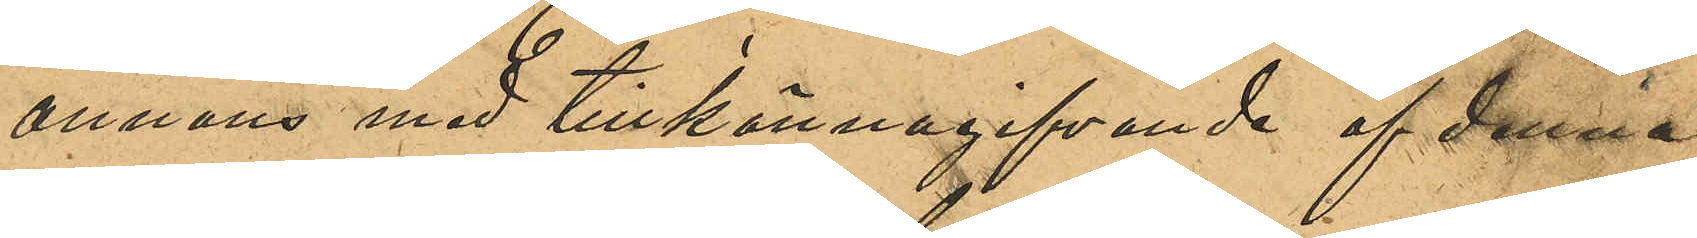annons med tillkännagifvande af denna
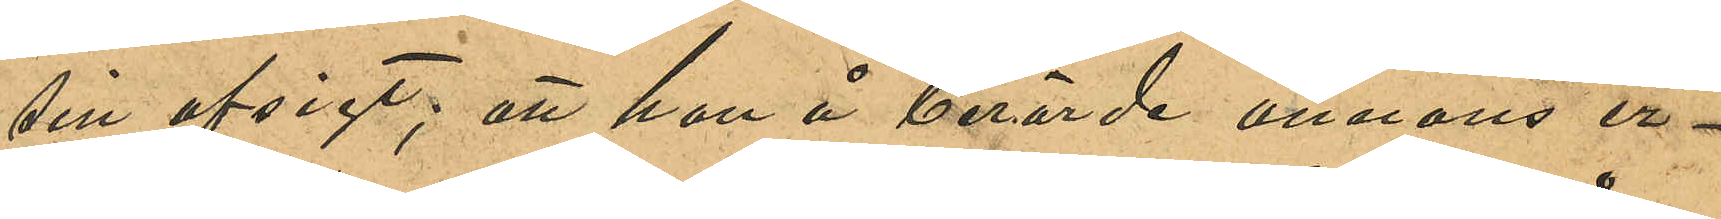sin afsigt; att hon å berörde annons er¬
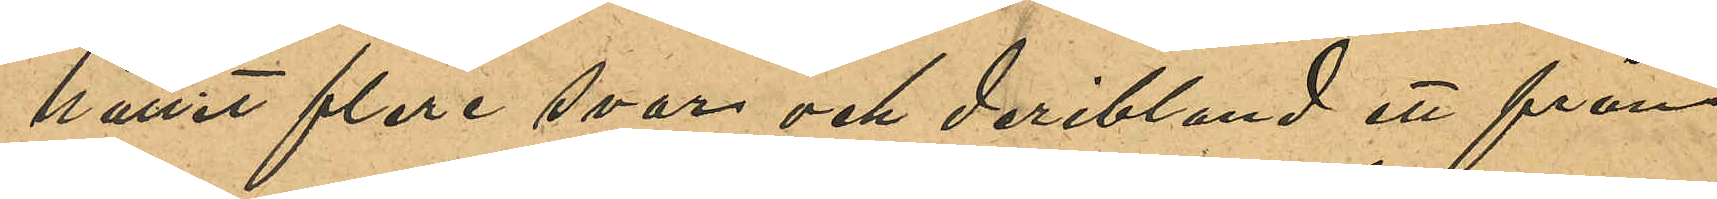hållit flere svar och deribland ett från
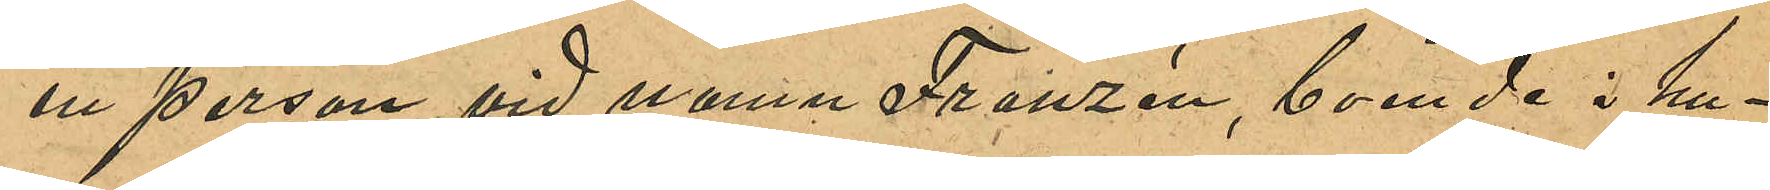en person vid namn Franzén, boende i hu¬
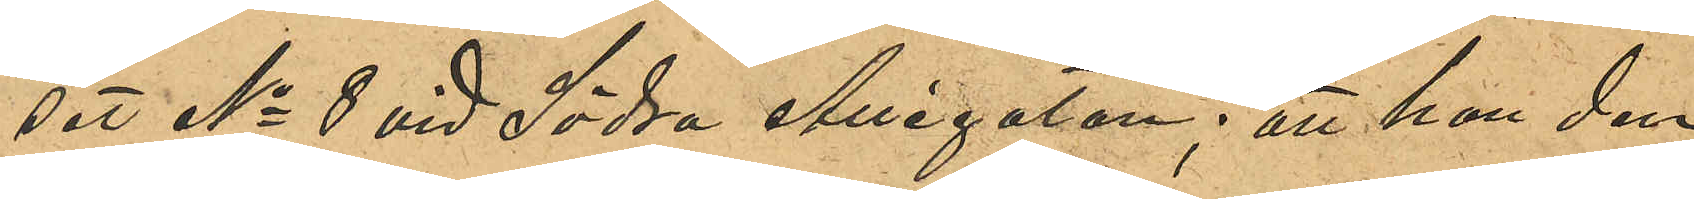set No 8 vid Södra Allégatan; att hon den
